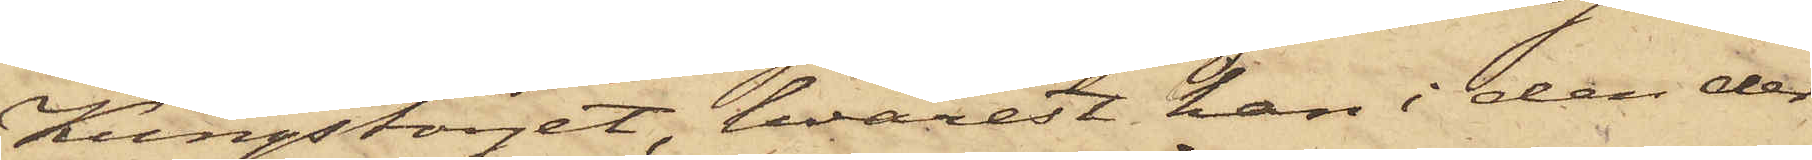Kungstorget, hvarest han i den der
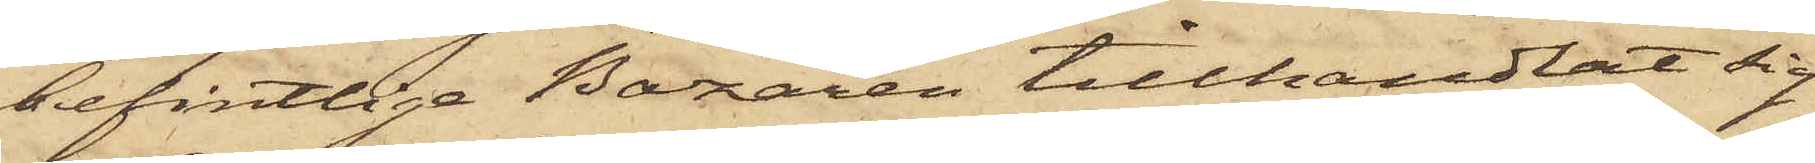befintliga Bazaren tillhandlat sig
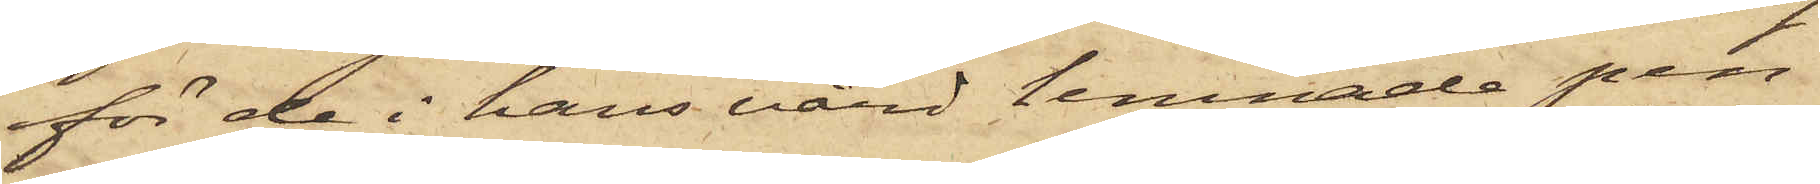för de i hans vård lemnade pen¬
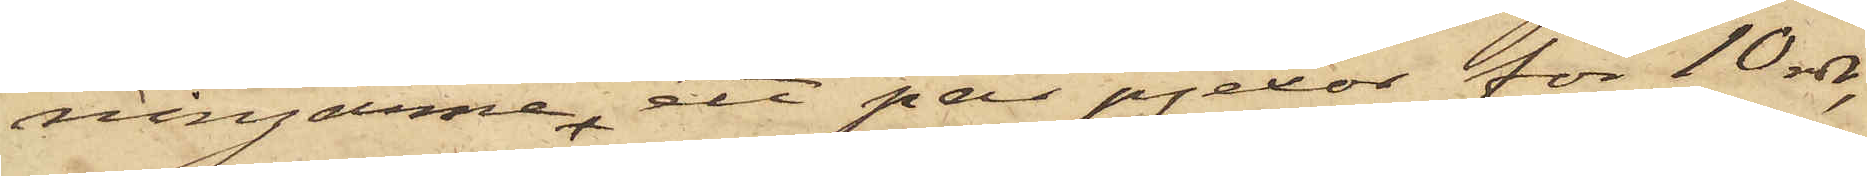ningarne, ett par pjexor för 10 rdr,
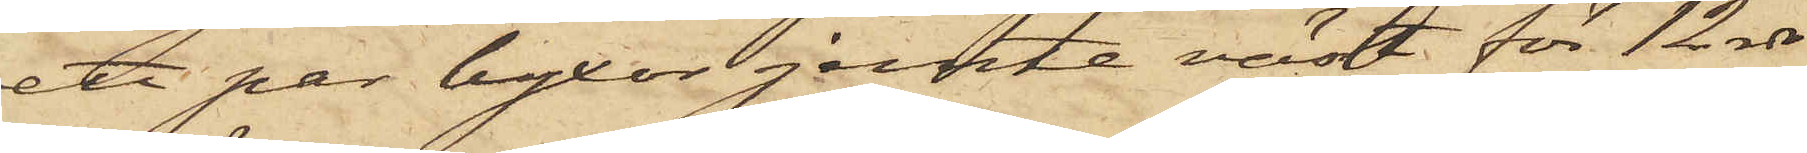ett par byxor jemte väst för 12 rdr
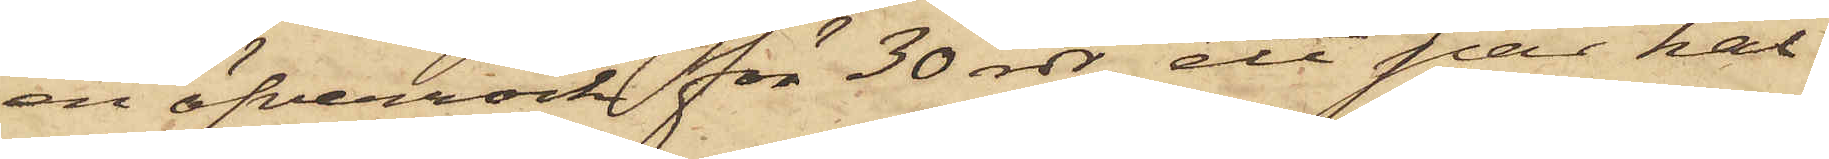en öfverrock för 30 rdr, ett par kal¬
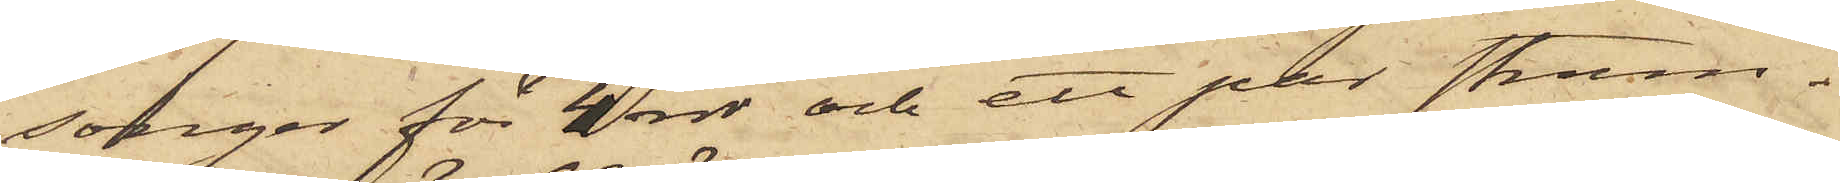songer för 4 rdr och ett par strum¬
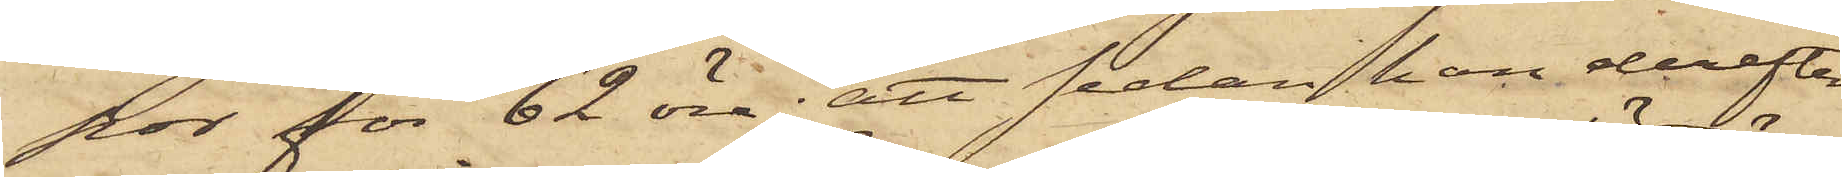por för 62 öre; att sedan han derefter
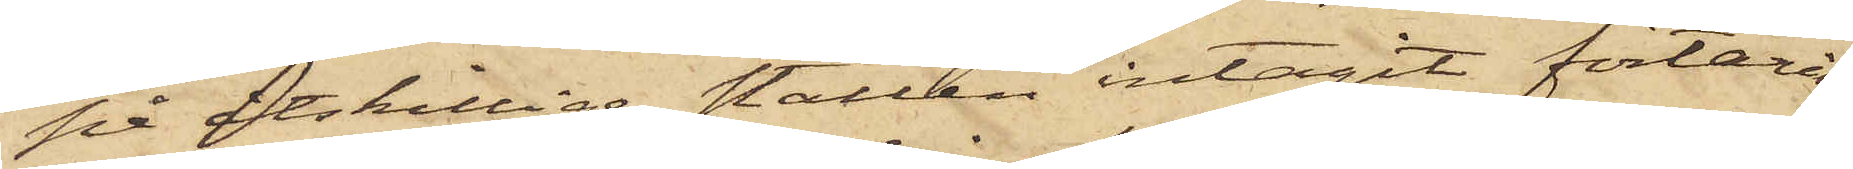på åtskillige ställen intagit förtäring
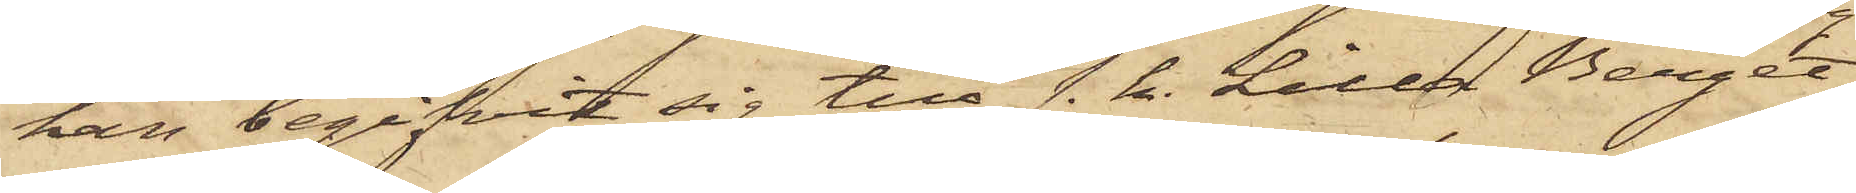han begifvit sig till s. k. Lilla Berget,
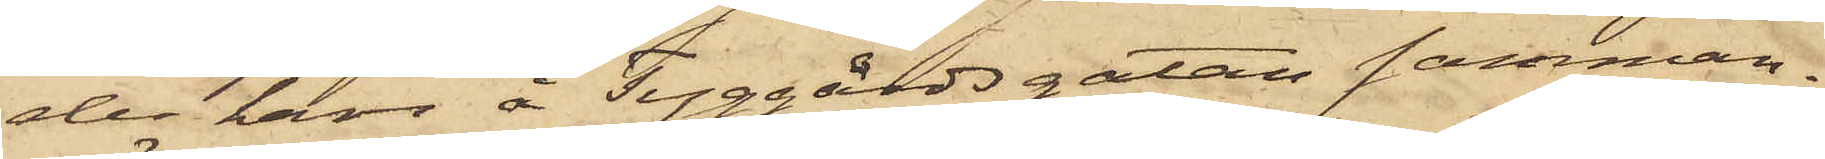der han å Tyggårdsgatan samman¬
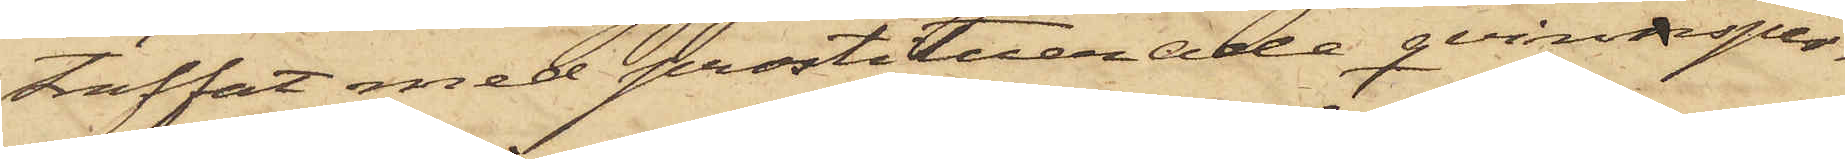träffat med prostituerade qvinnsper¬
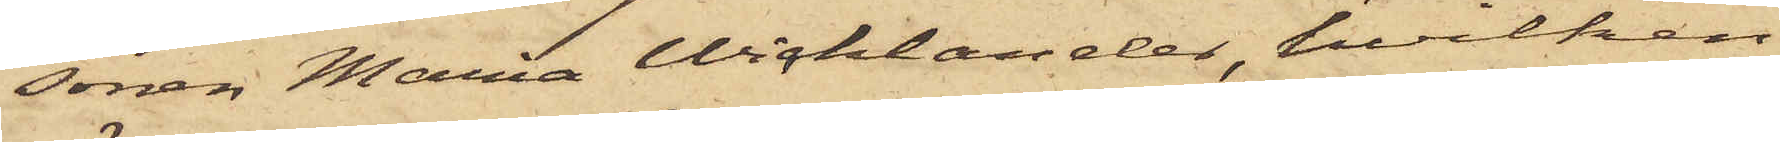sonen Maria Wicklander, hvilken
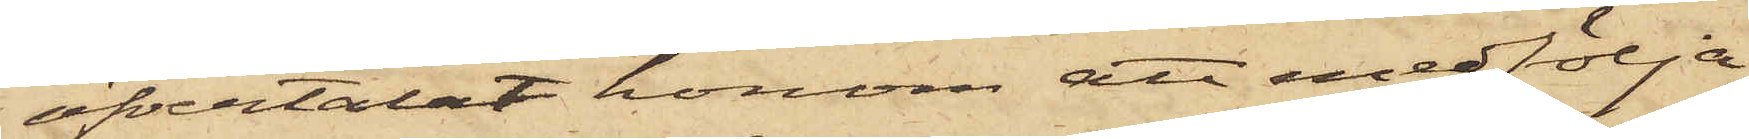öfvertalat honom att medfölja
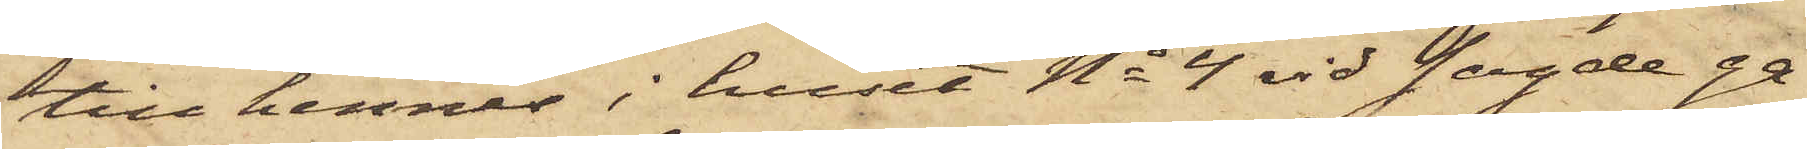till hennes i huset No 4 vid sagde ga¬
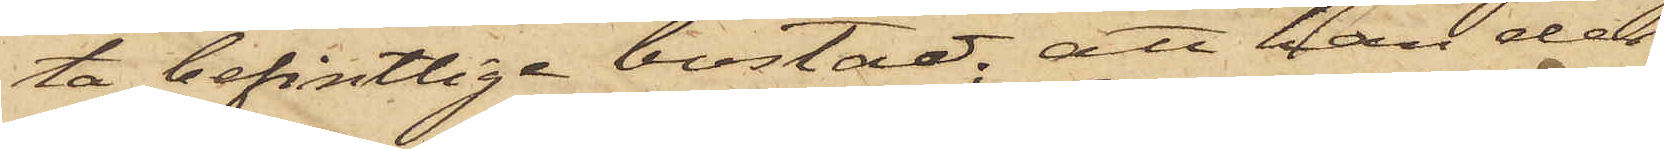ta befintlige bostad, att han der
